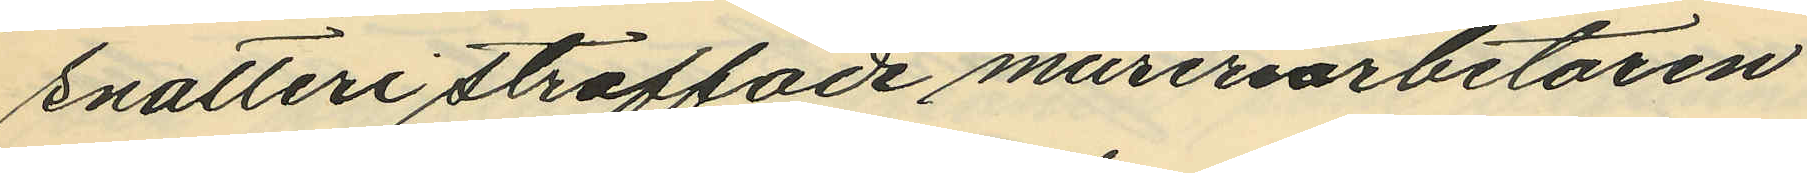snatteri straffade mureriarbetaren
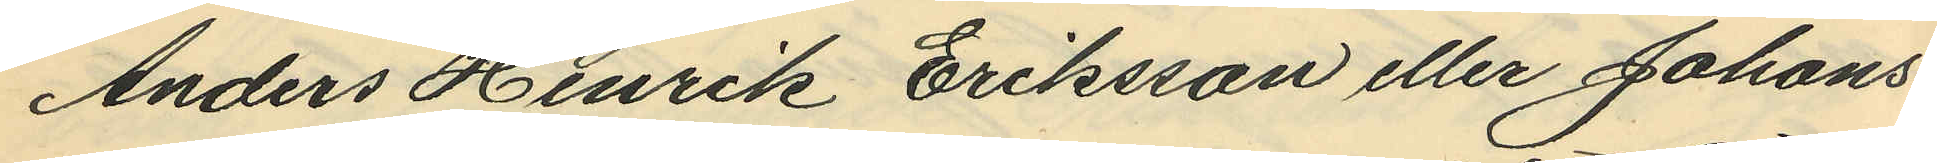Anders Henrik Eriksson eller Johans¬
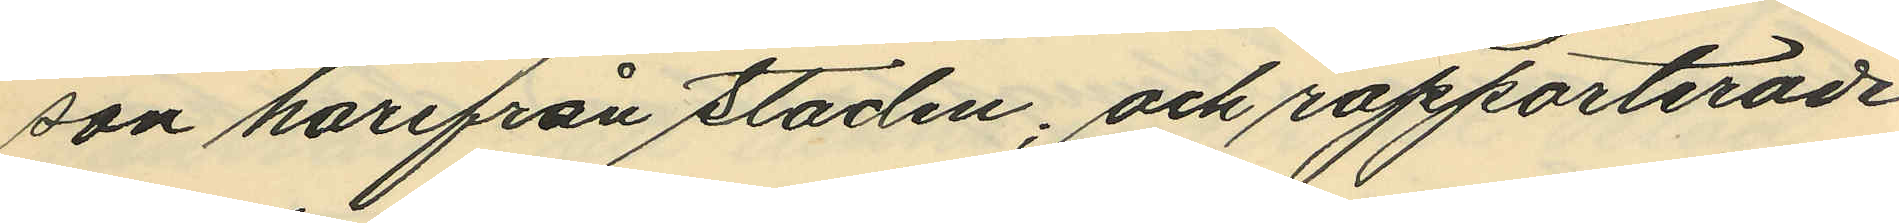son harifrån staden; och rapporterade
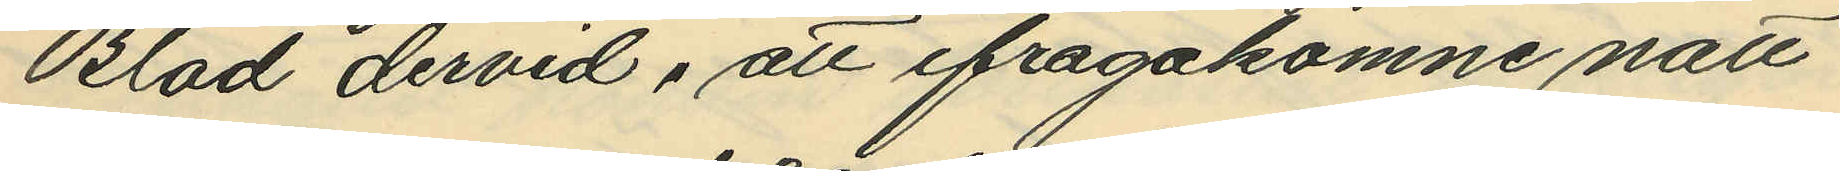Blad dervid, att ifrågakomne natt
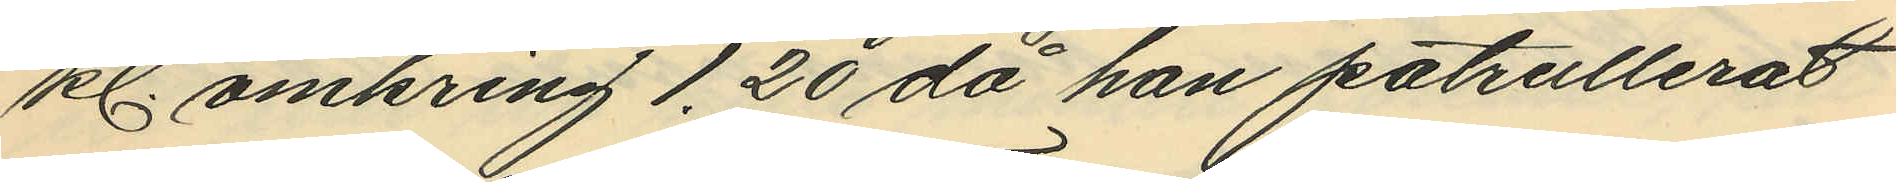kl. omkring 1.20 då han patrullerat
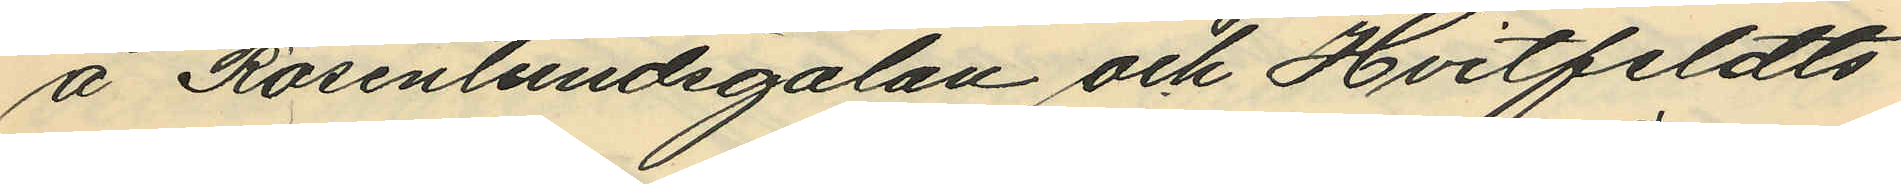å Rosenlundsgatan och Hvitfeldts
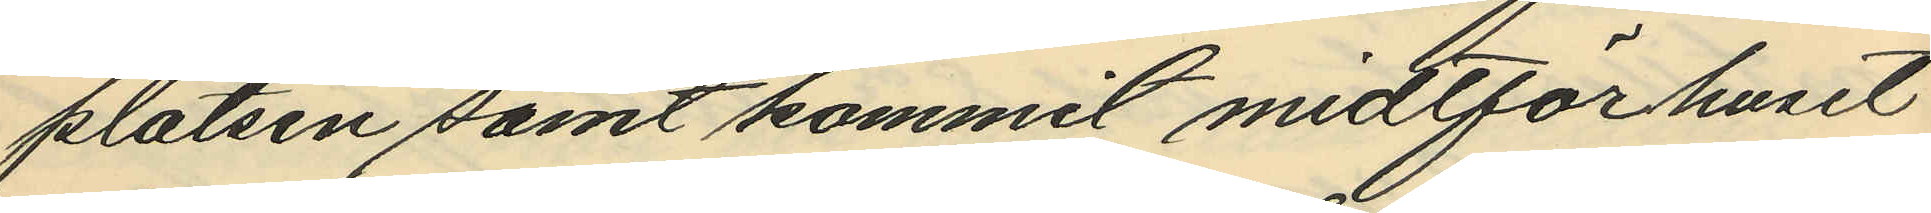platsen samt kommit midtför huset
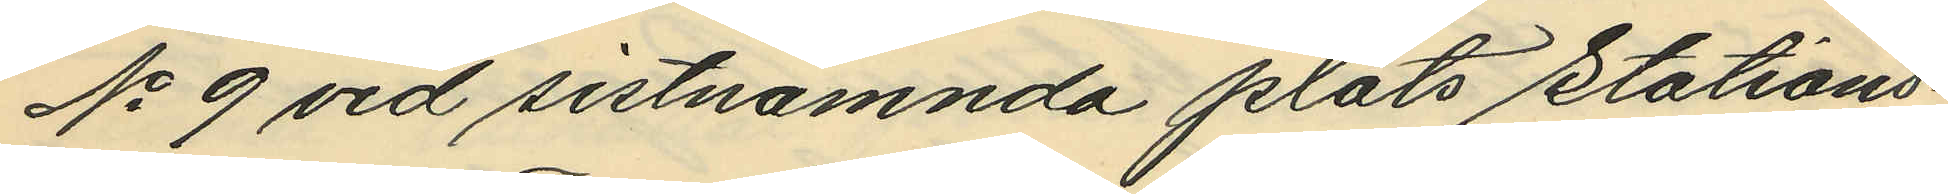No 9 vid sistnämnda plats Stations¬
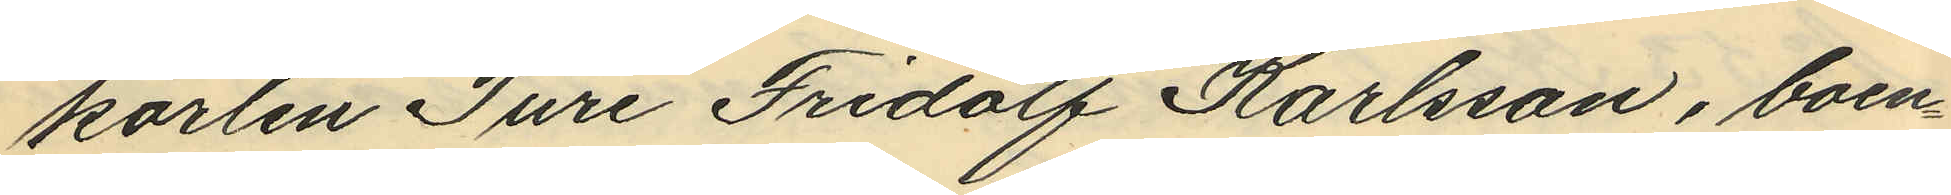karlen Ture Fridolf Karlsson, boen¬
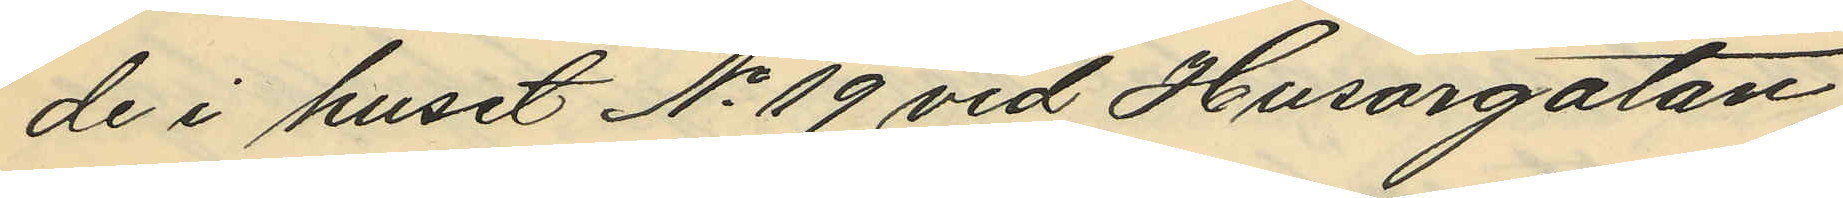de i huset No 19 vid Husargatan
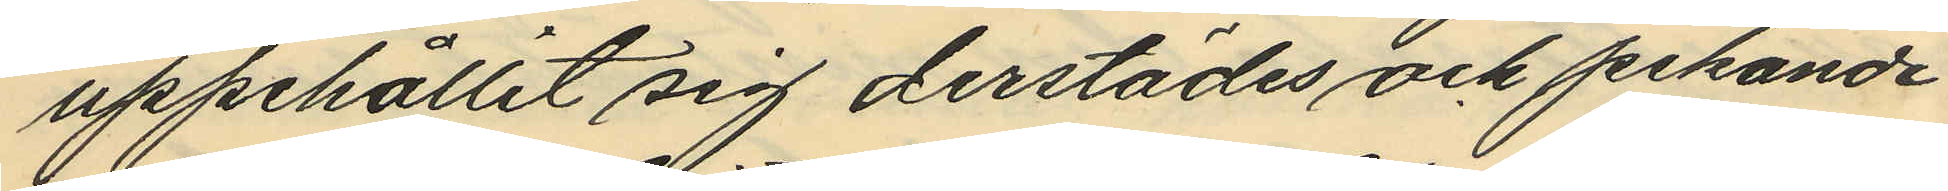uppehållit sig derstädes och pekande
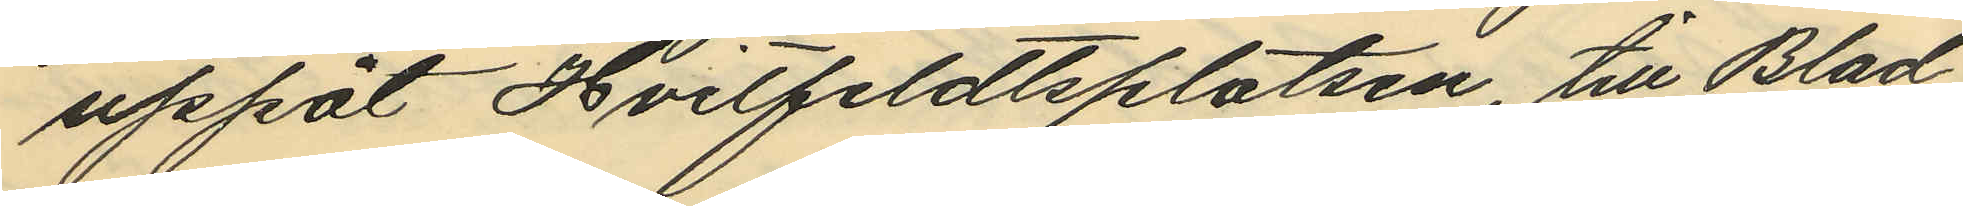uppåt Hvilfeldtsplatsen, till Blad
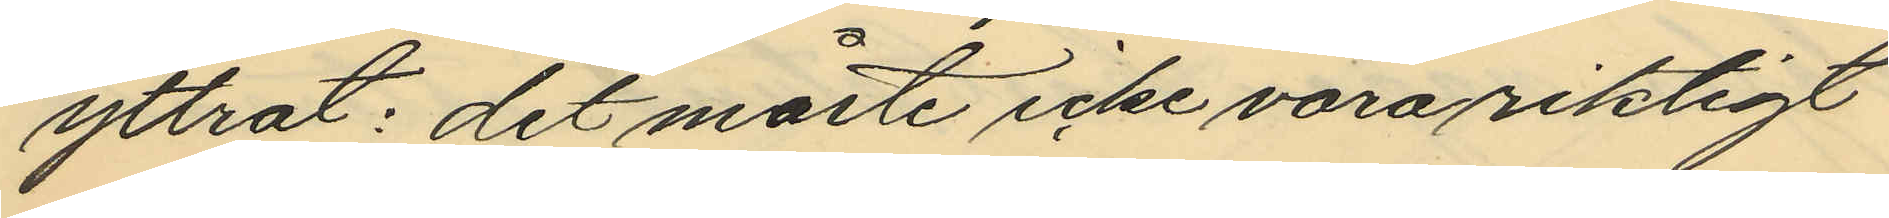yttrat: "det måste icke vara riktigt
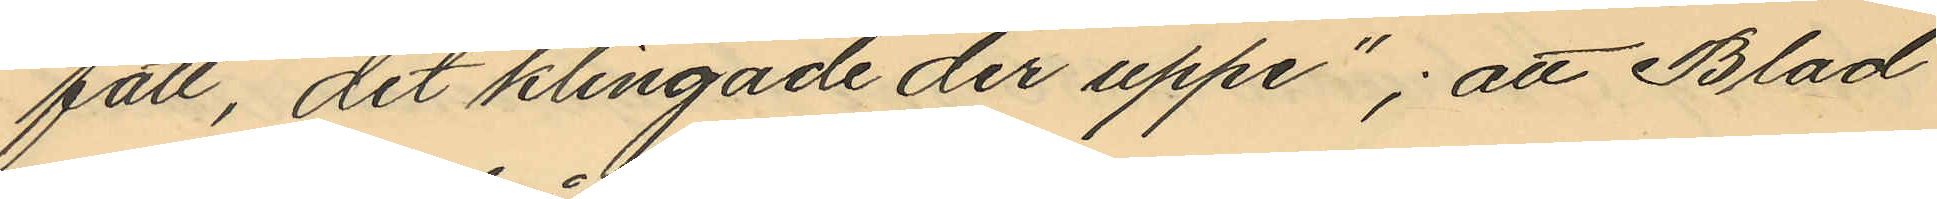fatt, det klingade der uppe"; att Blad
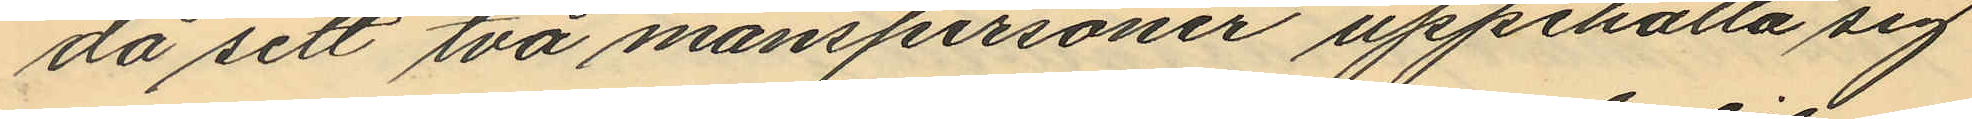då sett två manspersoner uppehålla sig
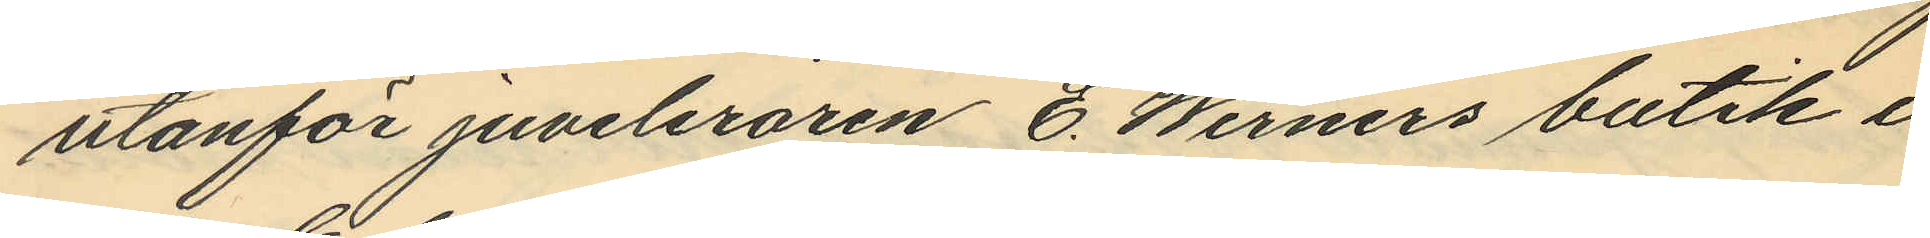utanför juveleraren E. Werners butik i
